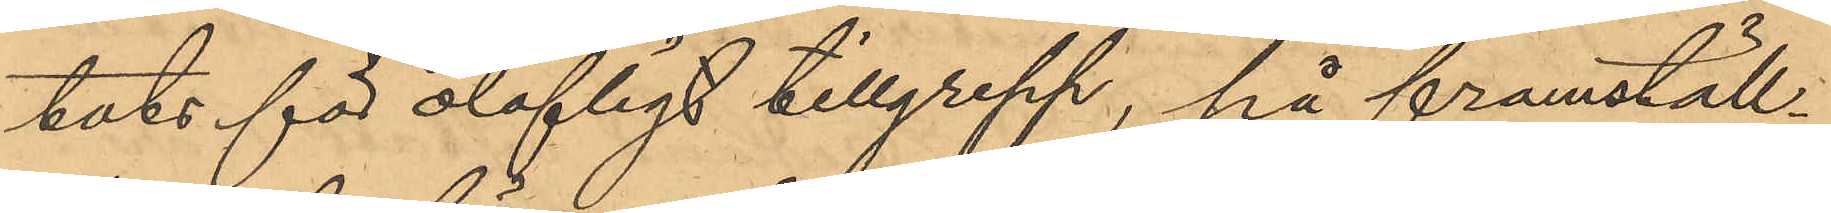tats för olofligt tillgrepp, på framställ¬
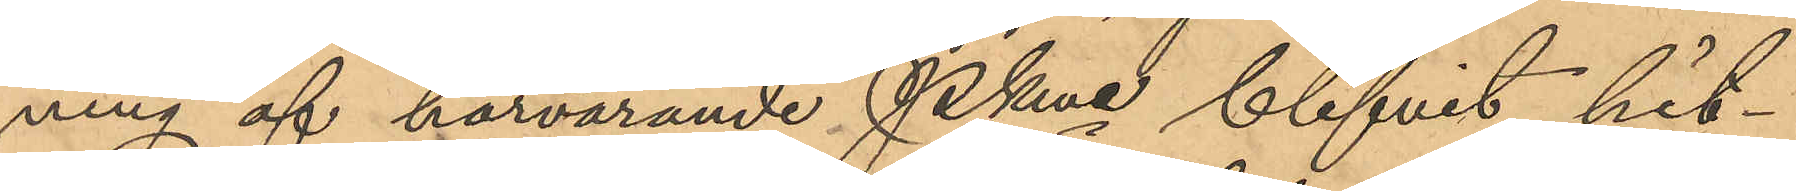ning af härvarande Pkmn blifvit hit¬
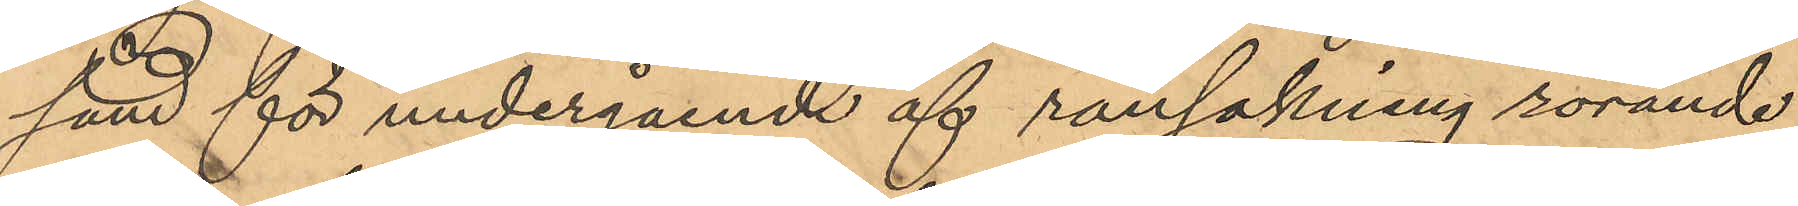sänd för undergående af ransakning rörande
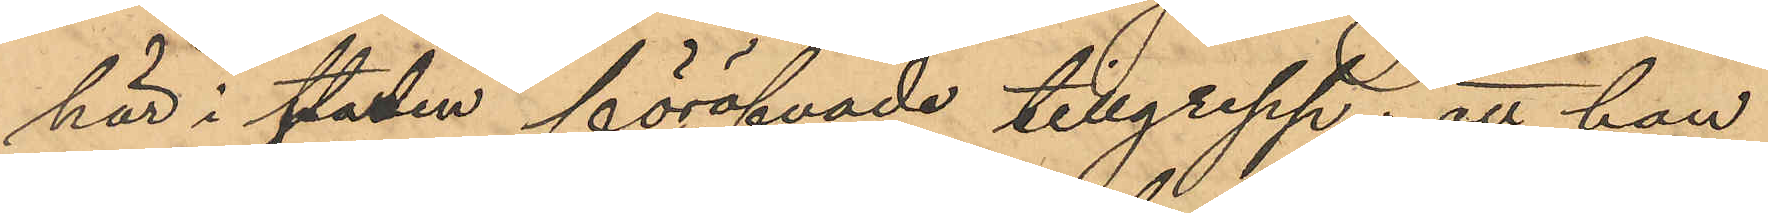här i staden föröfvade tillgrepp; att han
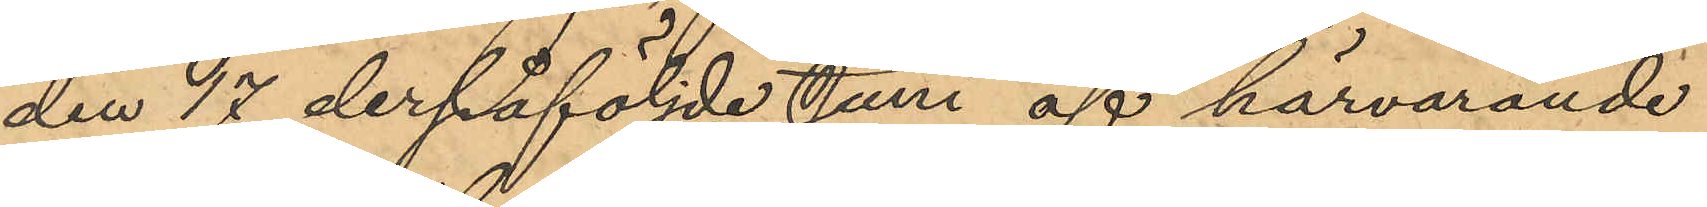den 17 derpåföljde Juni af härvarande
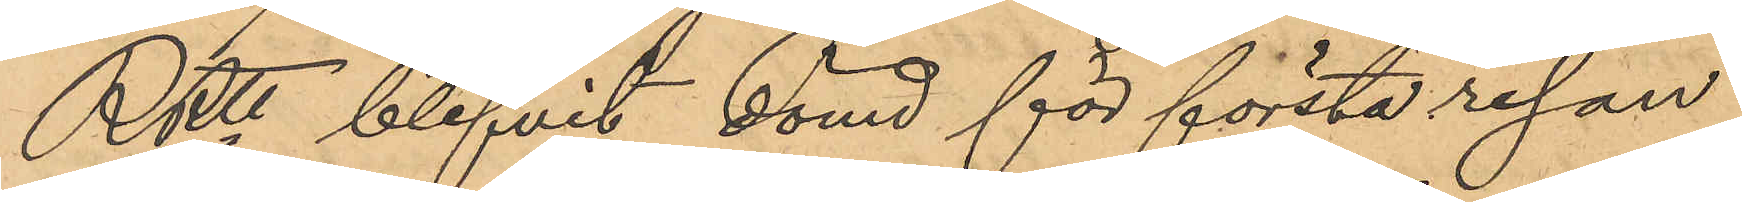RRtt blifvit dömd för första resan
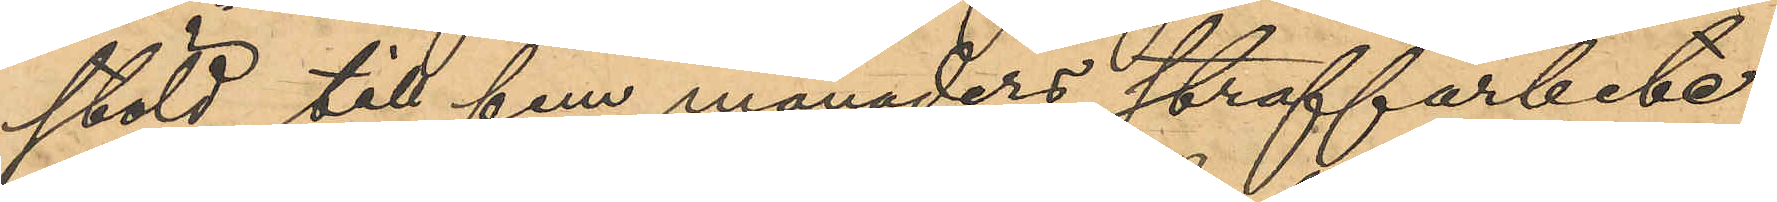stöld till fem månaders straffarbete
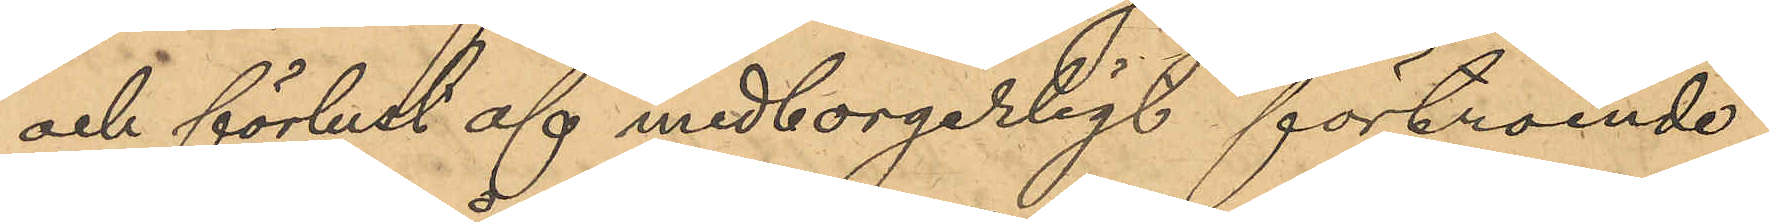och förlust af medborgerligt förtroende
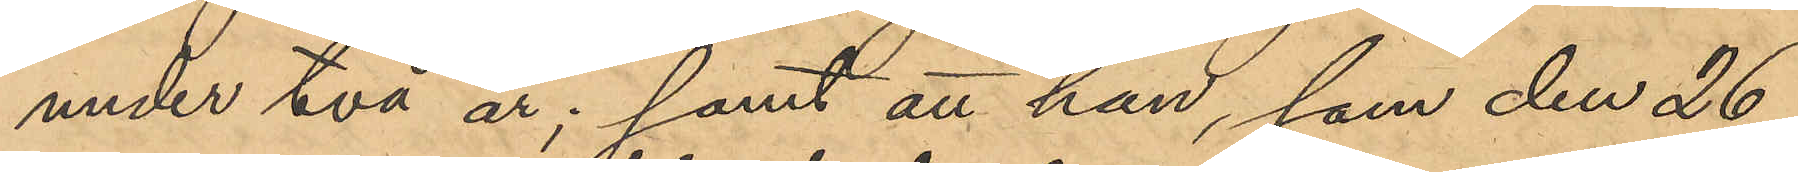under två år; samt att han, som den 26
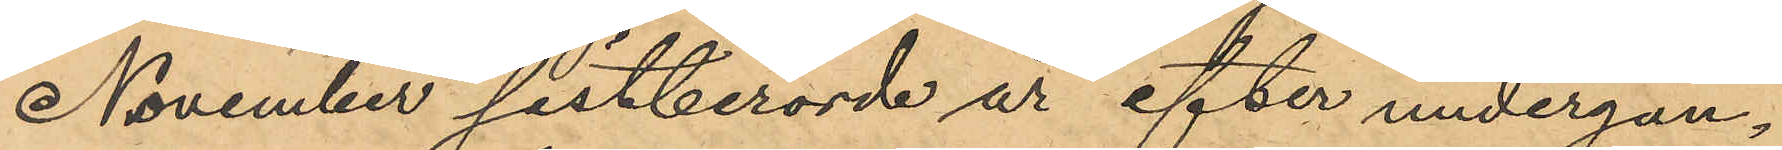November sistberörde år efter undergån¬
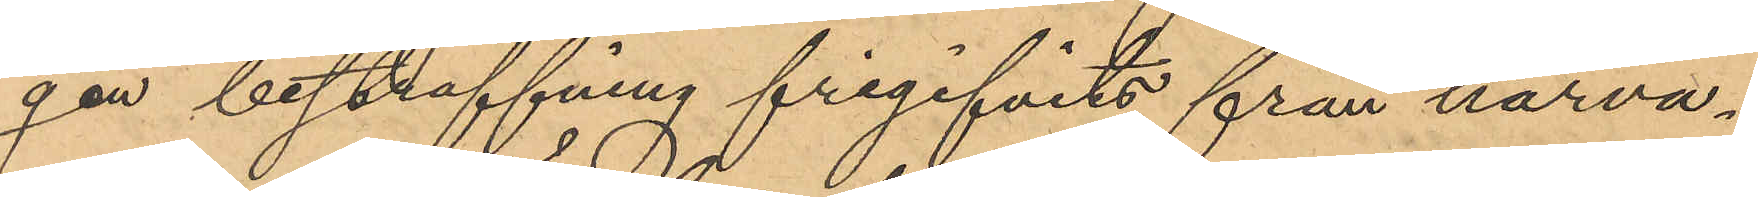gen bestraffning frigifvits från härva¬
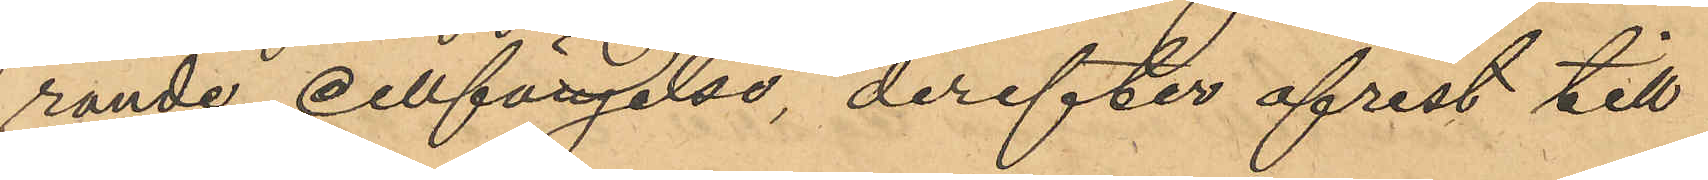rande cellfängelse, derefter afrest till
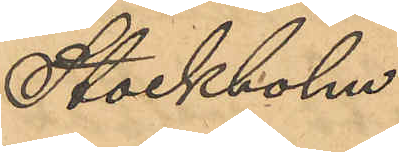Stockholm.
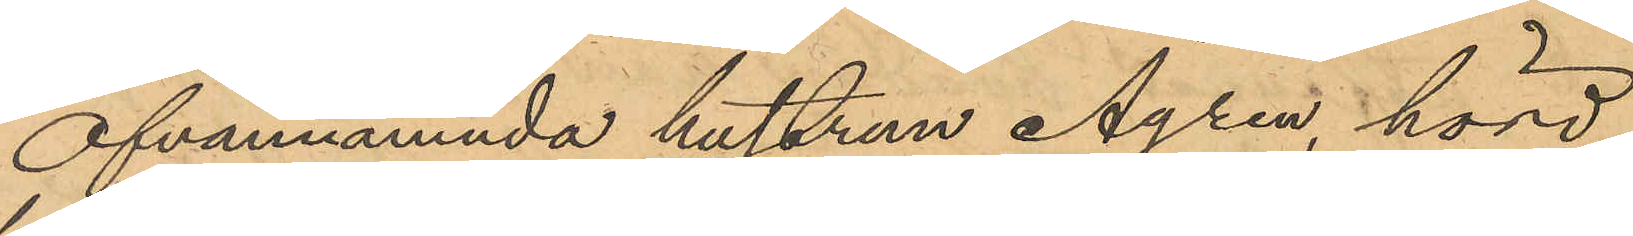Ofvannämnda hustrun Ågren, hörd,
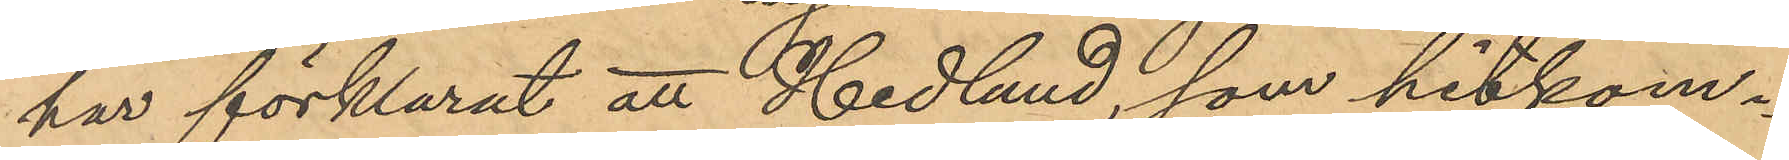har förklarat att Hedlund, som hitkom¬
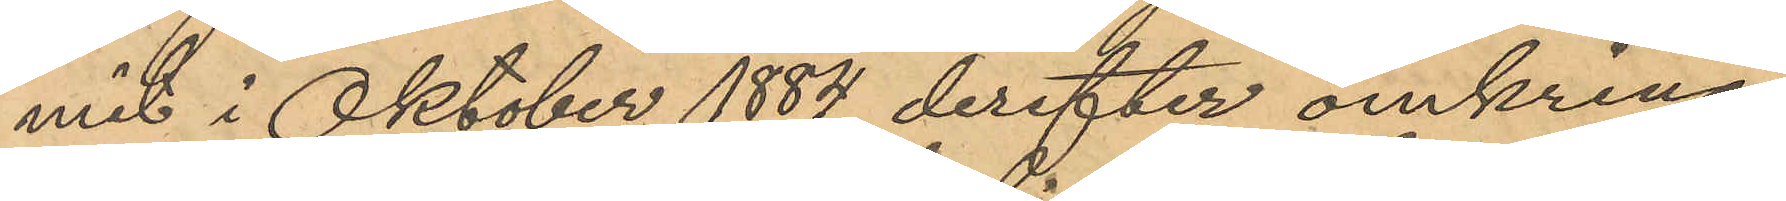mit i Oktober 1884, derefter omkring
